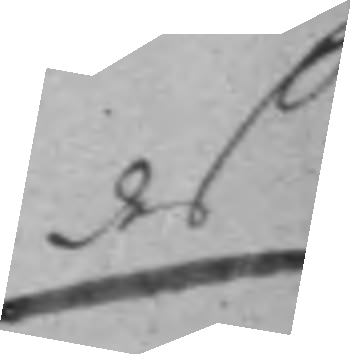des
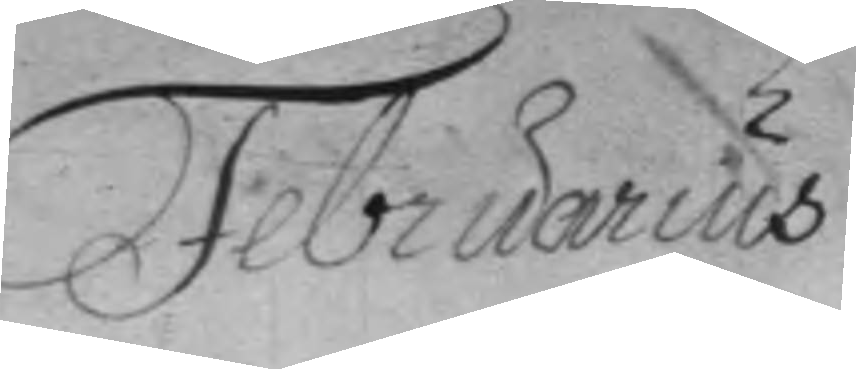Februarius
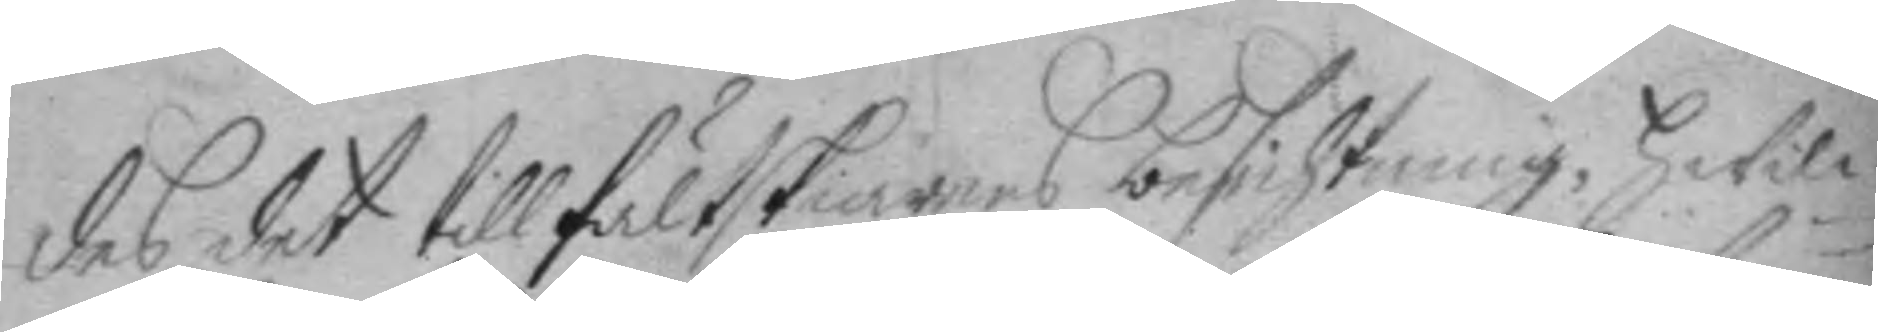des det till fältskiärens besichtning, hwil¬
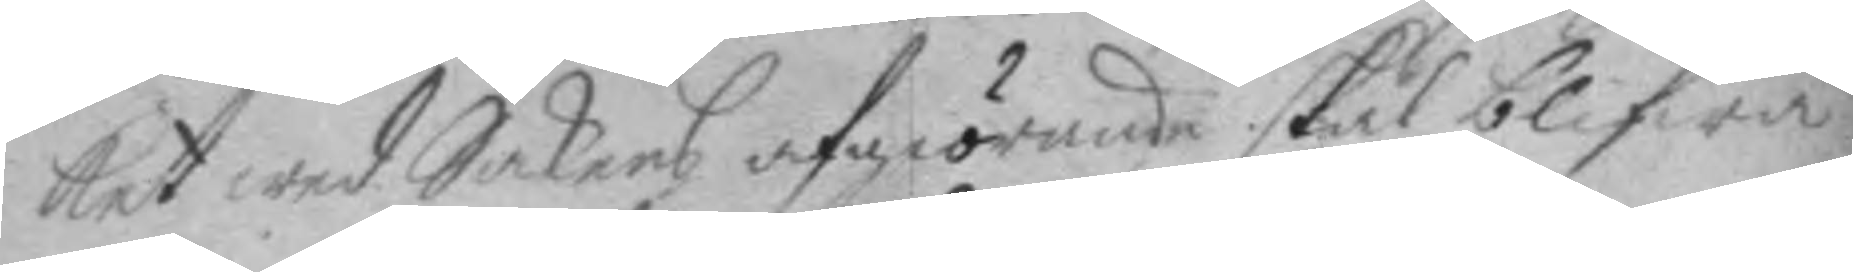ket wed Sakens afgiörande skal blifwa
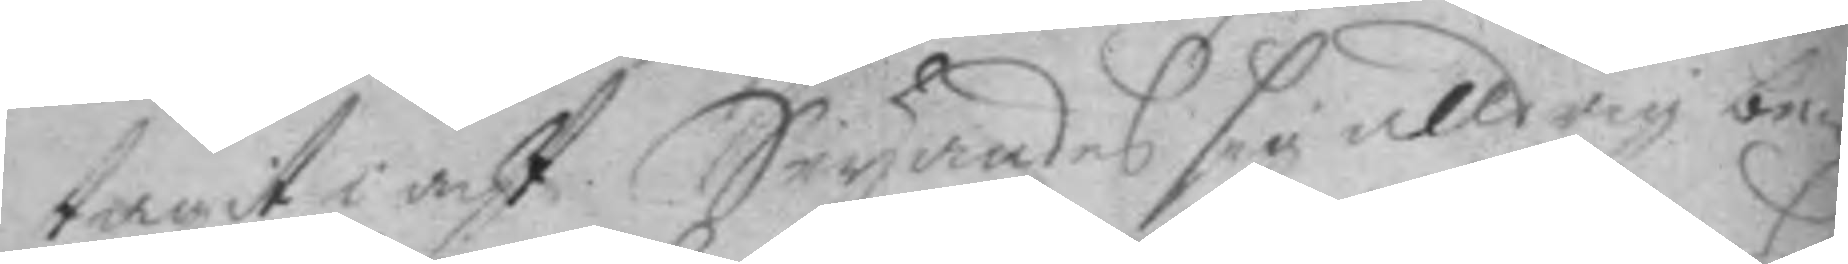tagit i acht. Seyandes sig alldrig be¬
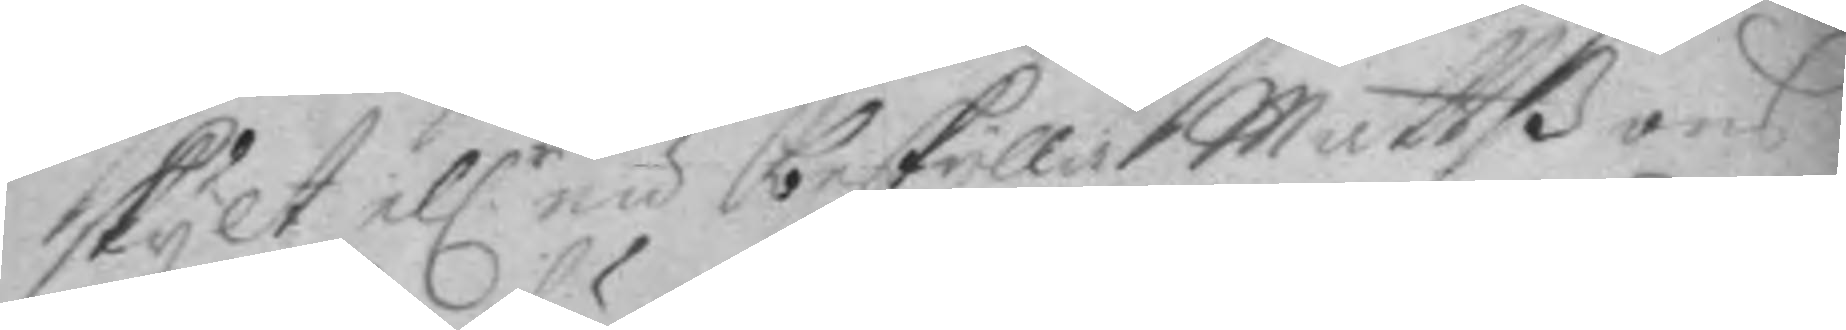skylt el.r nu beskylla Mattßons
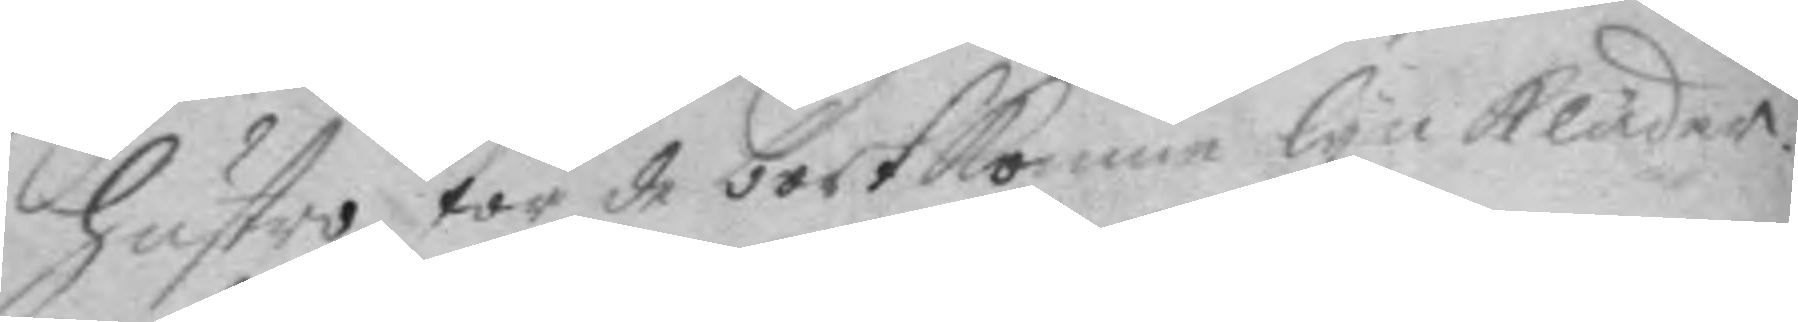hustro för de bortkomne lynkläder.
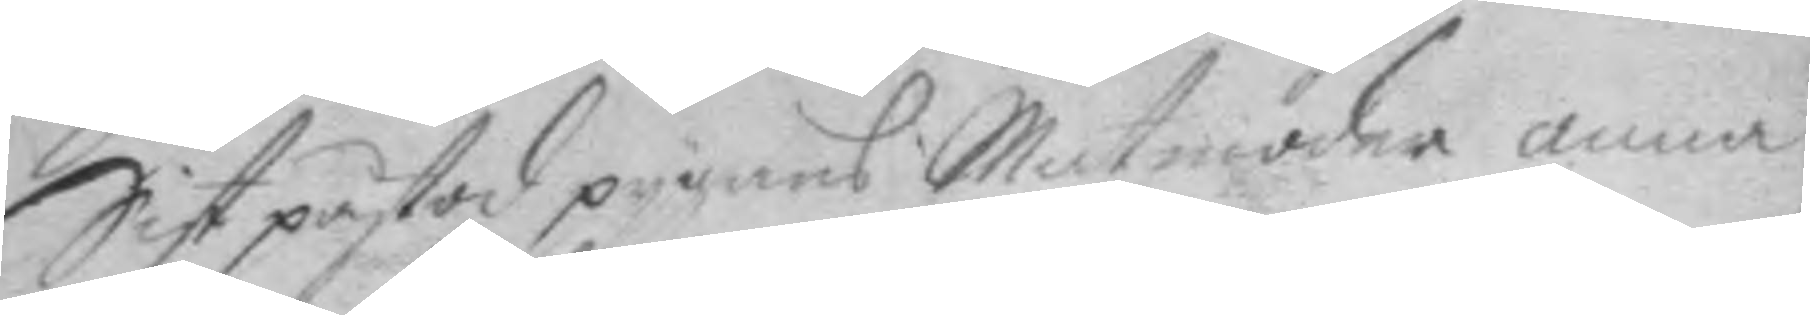Sist påstod oygans Matmoder anna
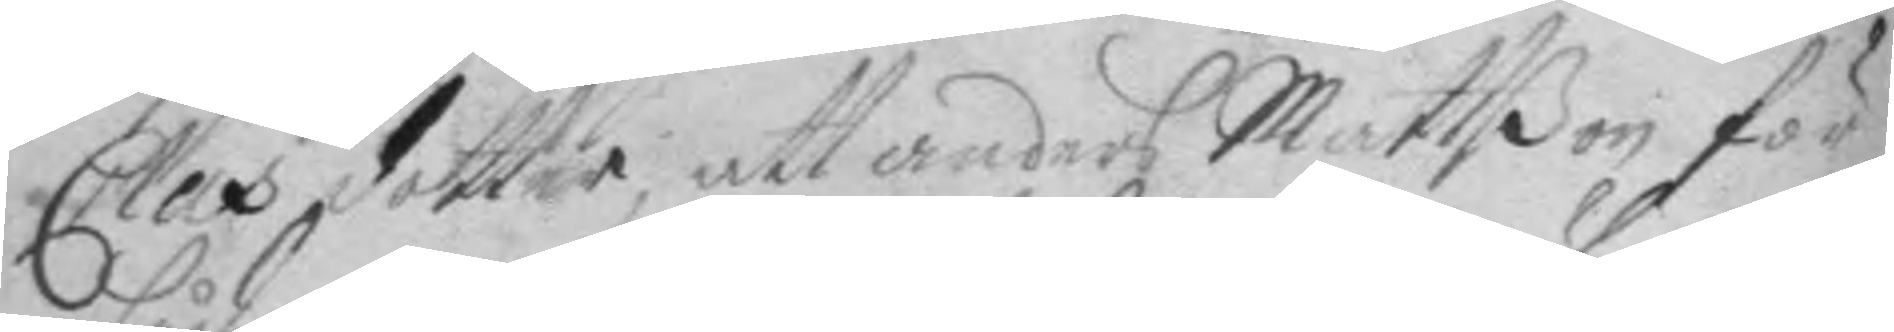Clas dotter, att anders Mattßon för
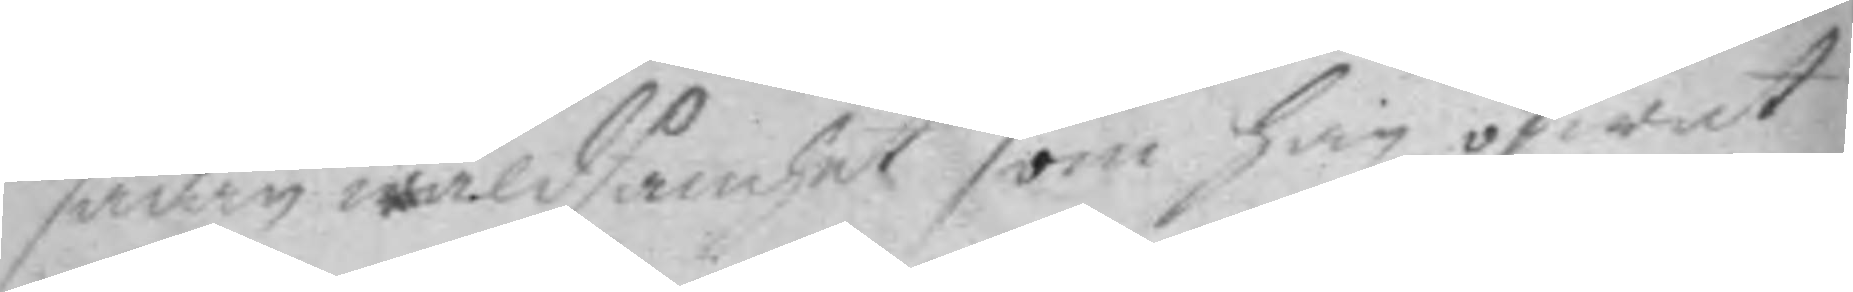sådan wåldsamhet som han öfwat
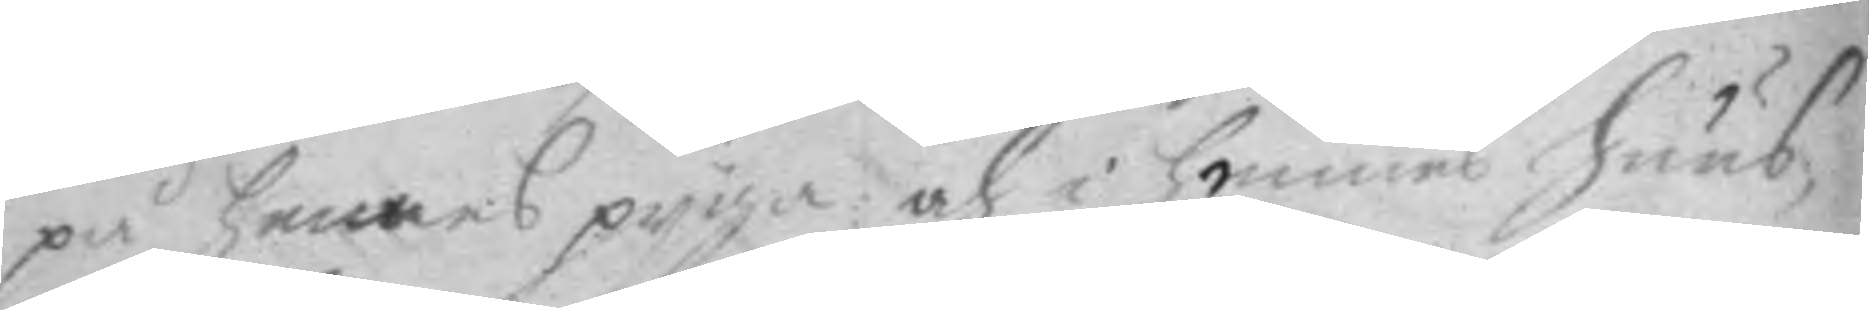på hennes pyga och i hennes huus
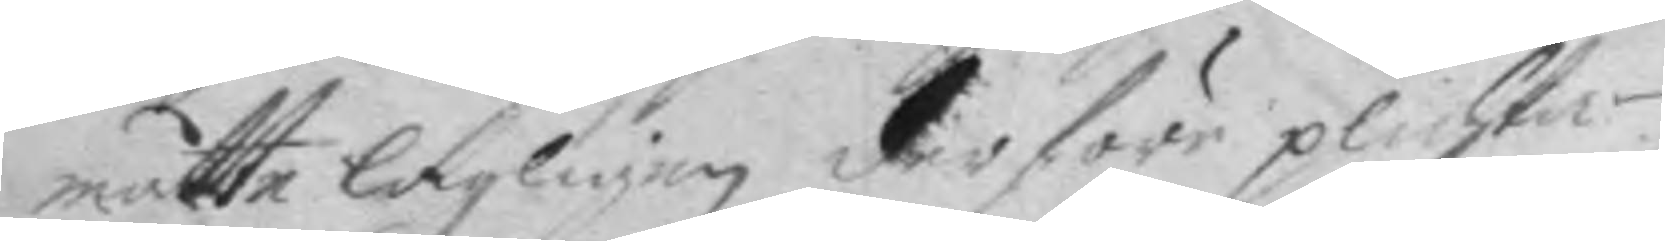måtte lagligen derföre plichta.
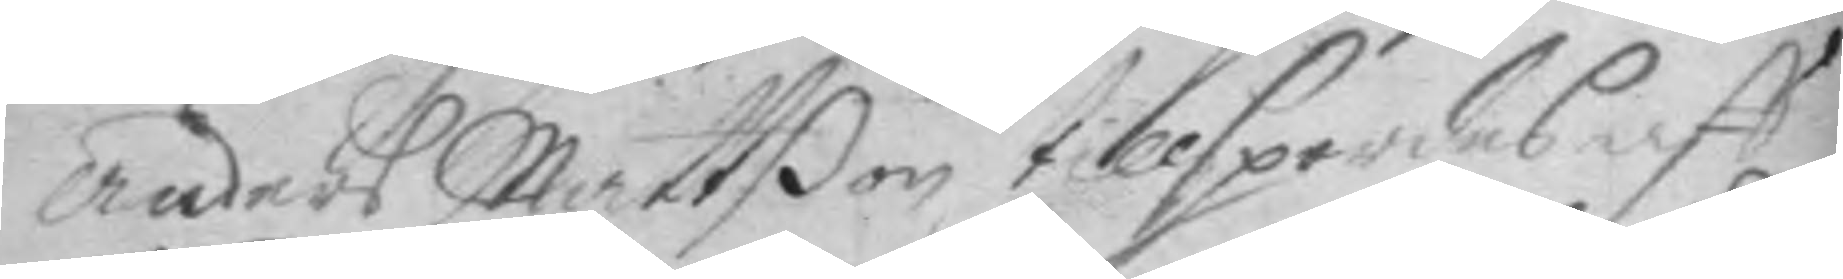anders Mattßon tillspordes aff
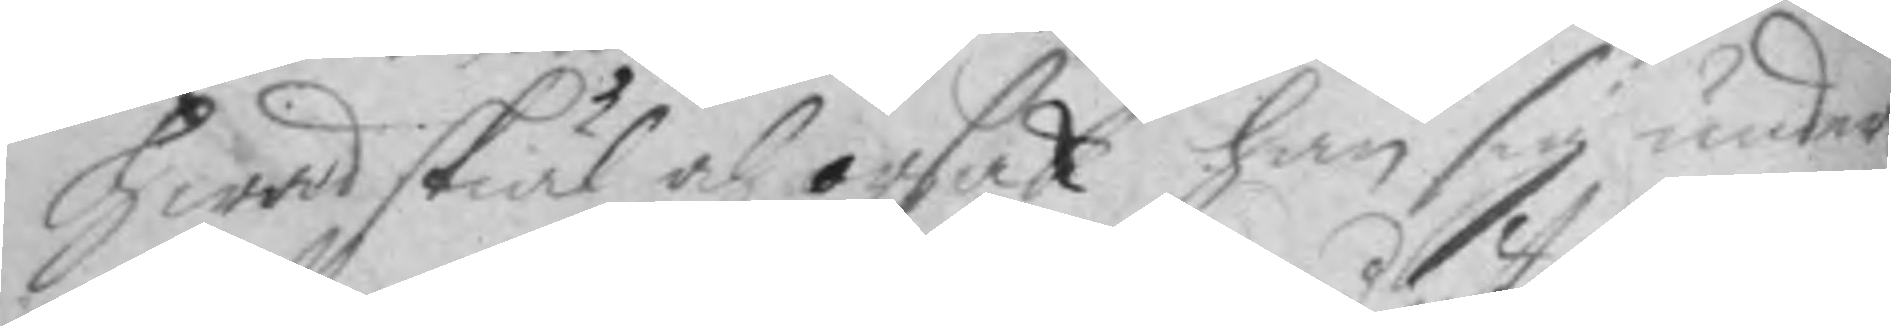hwad skiäl och orsak han sig under¬
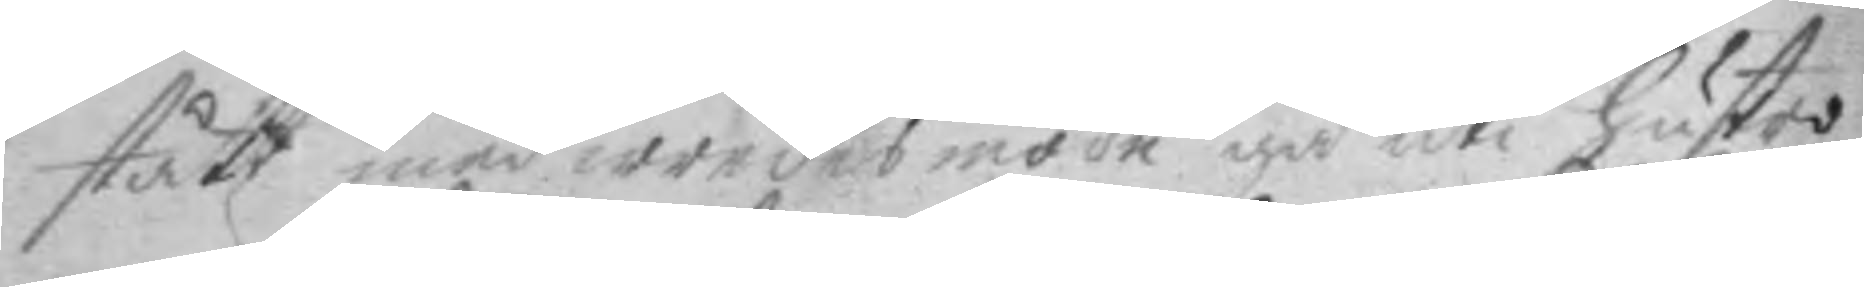stått med wredesmode gå uti hustro
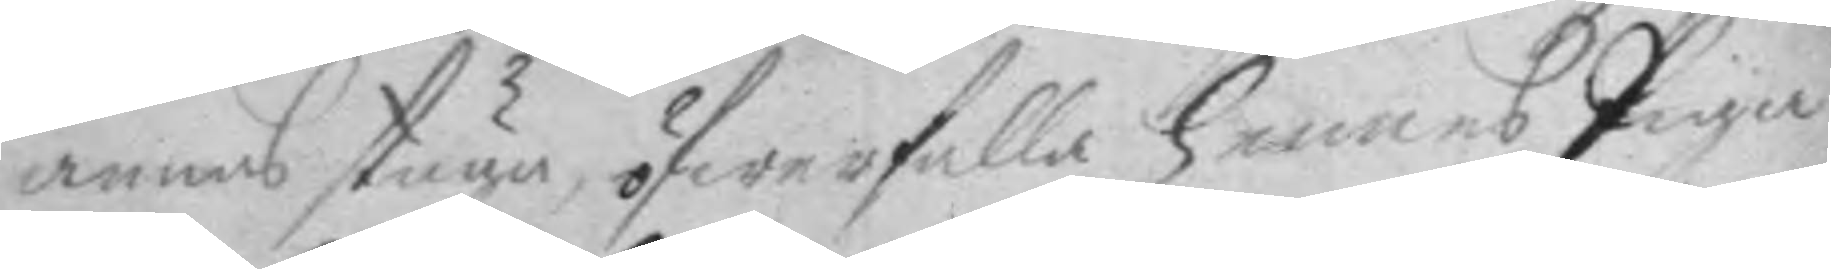annas stuga, öfwerfalla hennes Pyga
